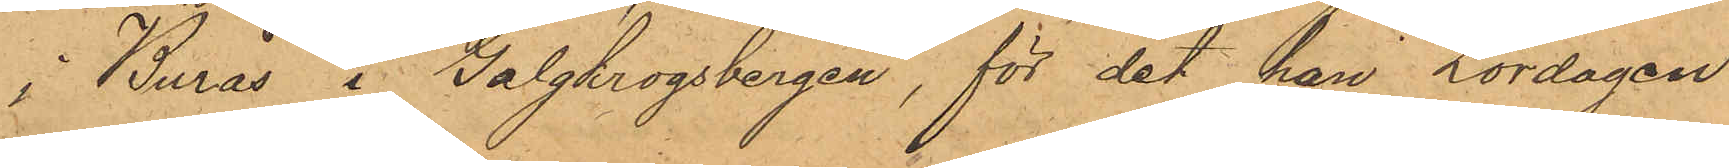i Burås i Galgkrogsbergen, för det han Lördagen
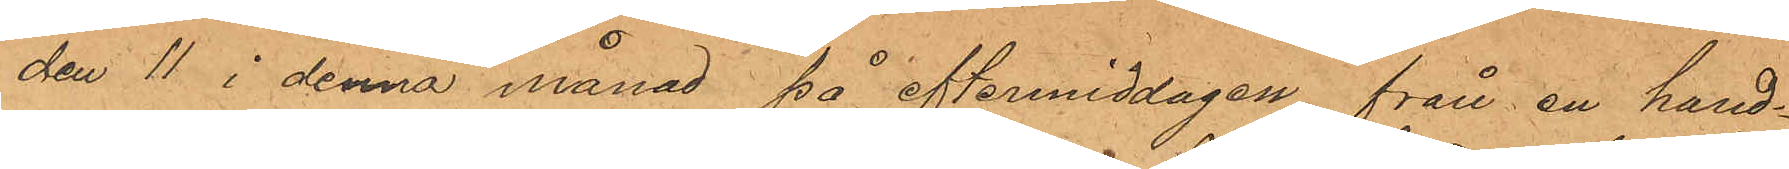den 11 i denna månad på eftermiddagen från en hand¬
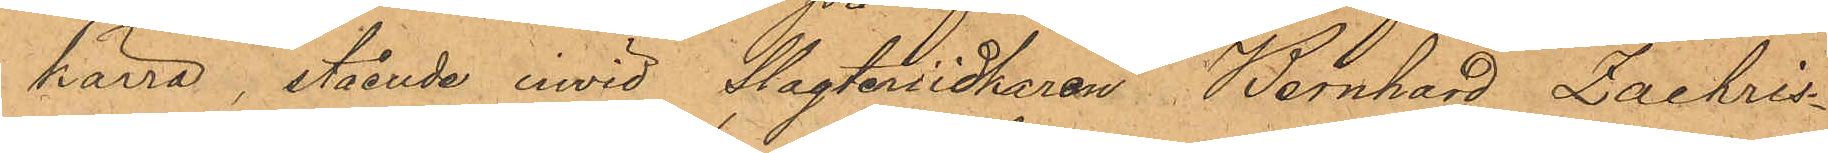kärra, stående invid Slagteriidkaren Bernhard Zachris¬
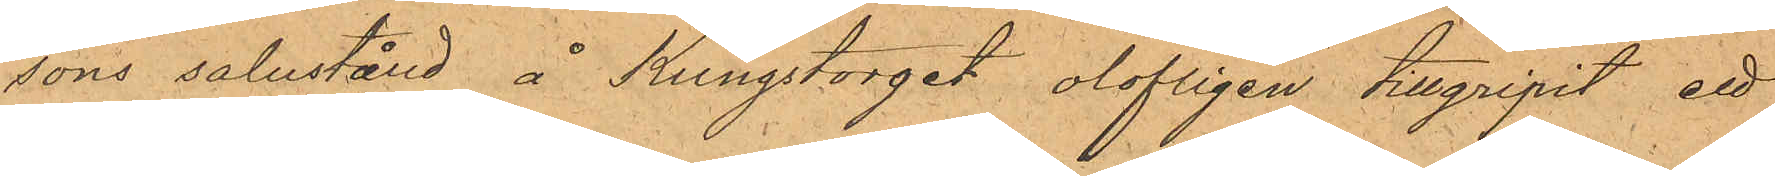sons salustånd å Kungstorget, olofligen tillgripit ett
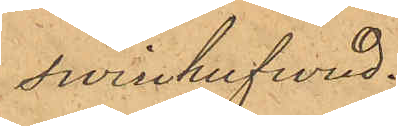swinhufwud.
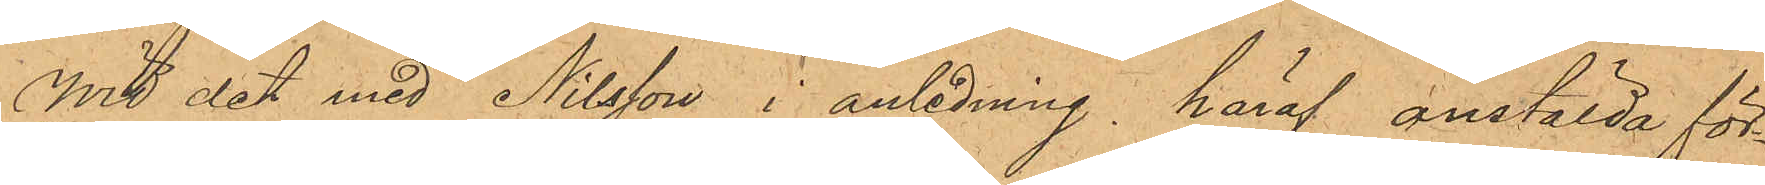Wid det med Nilsson i anledning häraf anstälda för¬
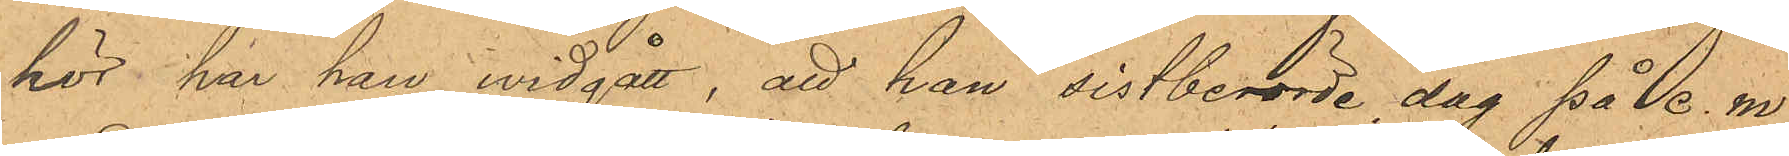hör har han widgått, att han sistberörde dag på e. m.
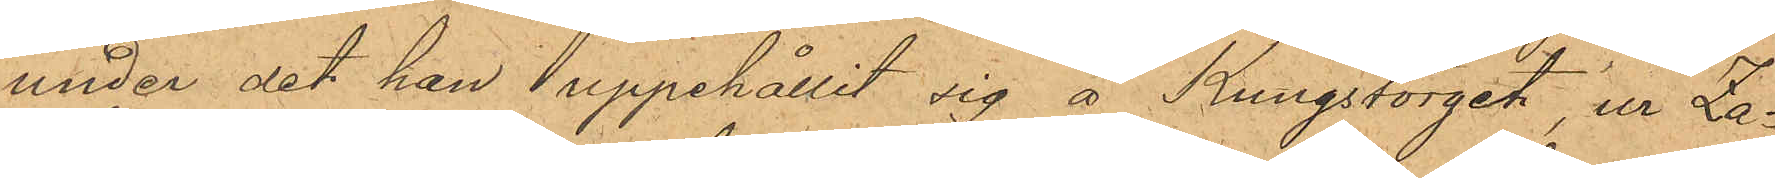under det han uppehållit sig å Kungstorget, ur Za¬
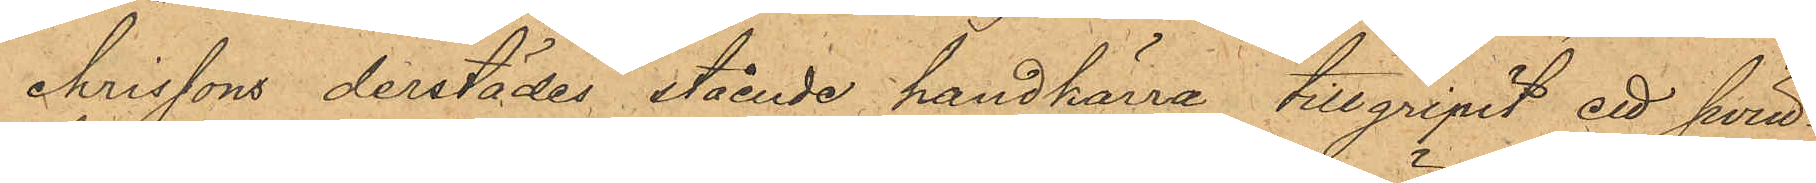chrissons derstädes stående handkärra tillgripit ett Swin¬
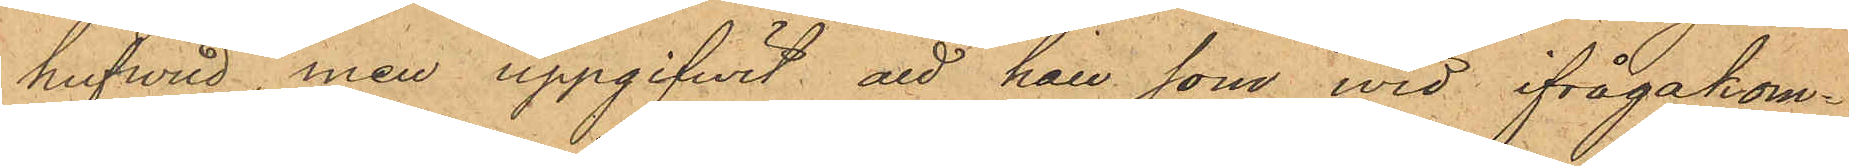hufwud men uppgifwit att han som wid ifrågakom¬
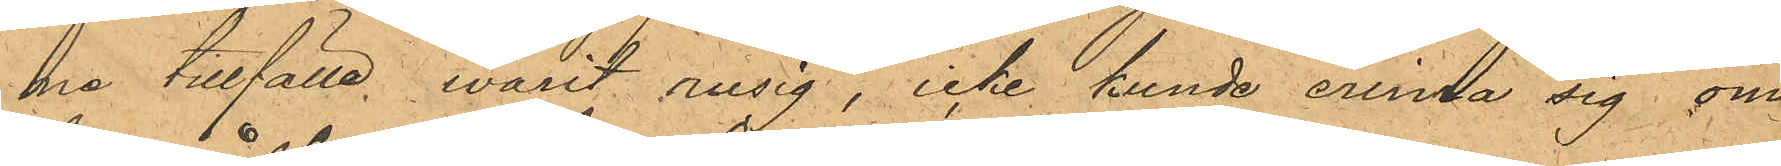na tillfälle varit rusig, icke kunde erinra sig om
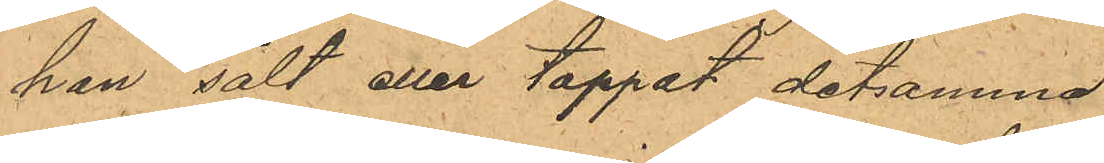han sålt eller tappat detsamma;
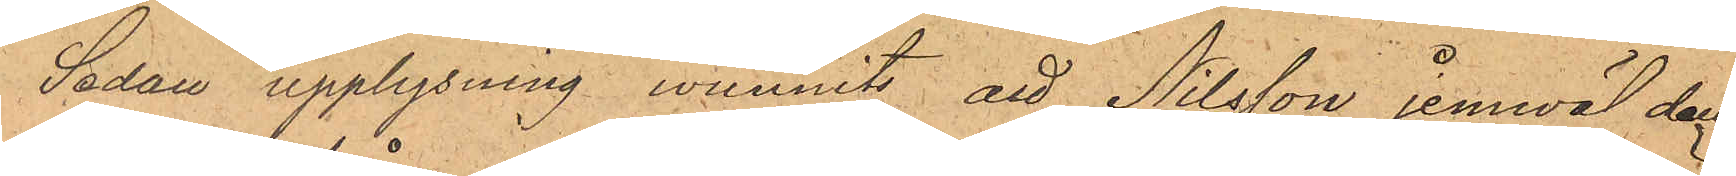Sedan upplysning wunnits att Nilsson jemwäl den
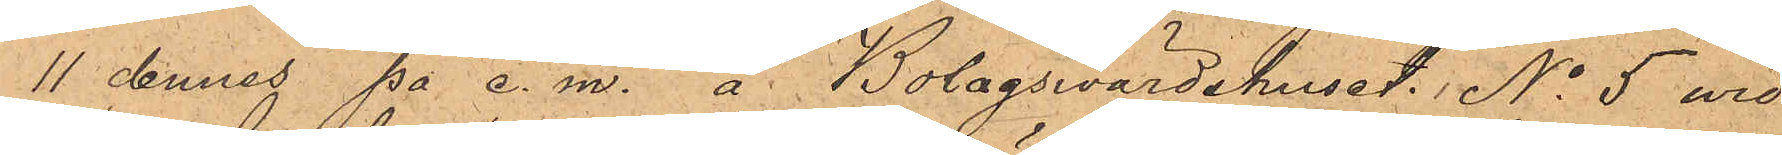11 dennes på e. m. å Bolagsvärdshuset No 5 wid
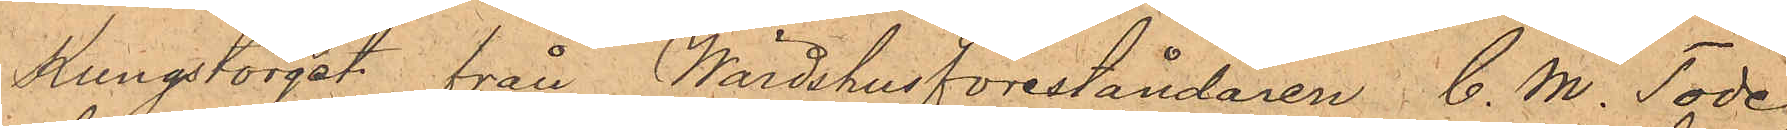Kungstorget från Wärdshusföreståndaren C. M. Tode
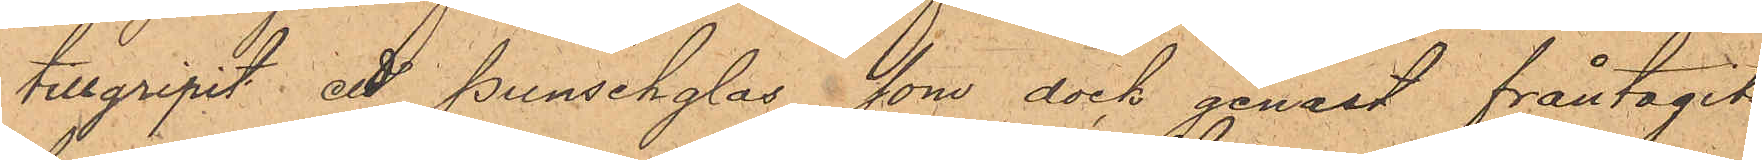tillgripit ett punschglas, som dock genast fråntagits
